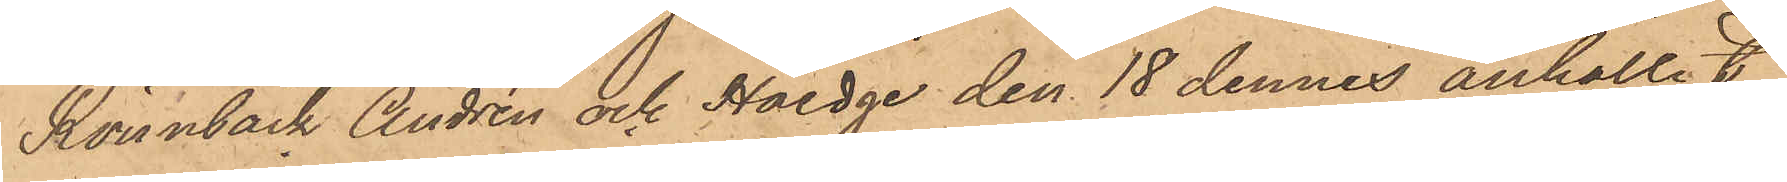Rönnbäck Andrén och Haedge den 18 dennes anhållit
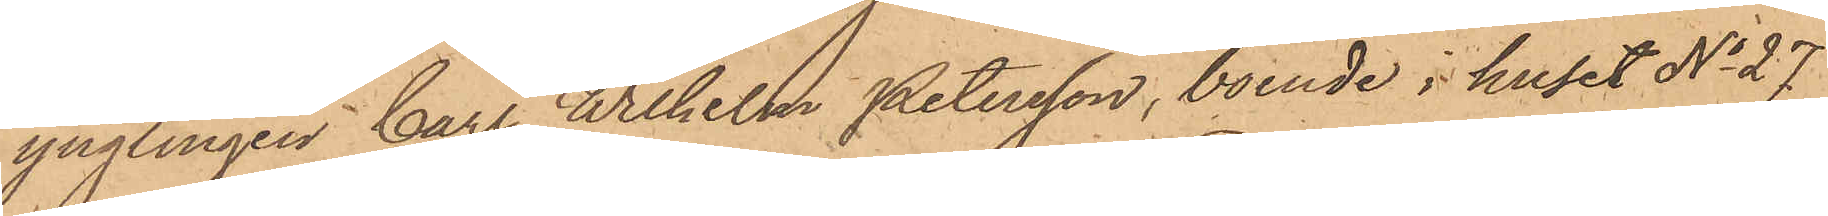ynglingen Carl Wilhelm Petersson, boende i huset No 27
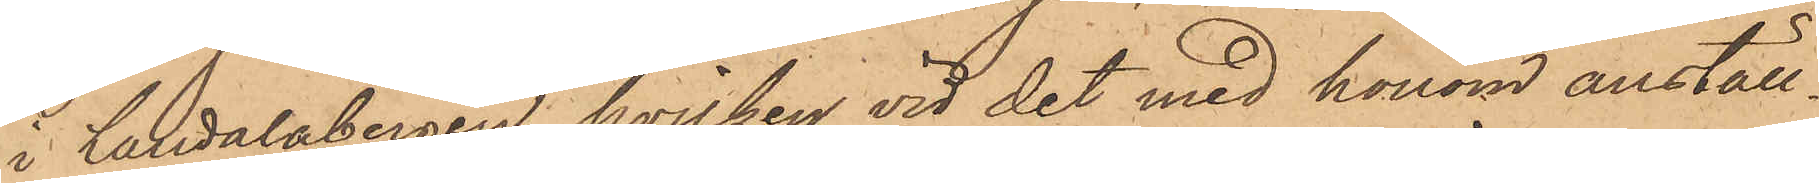i Landalabergen, hvilken vid det med honom anställ¬
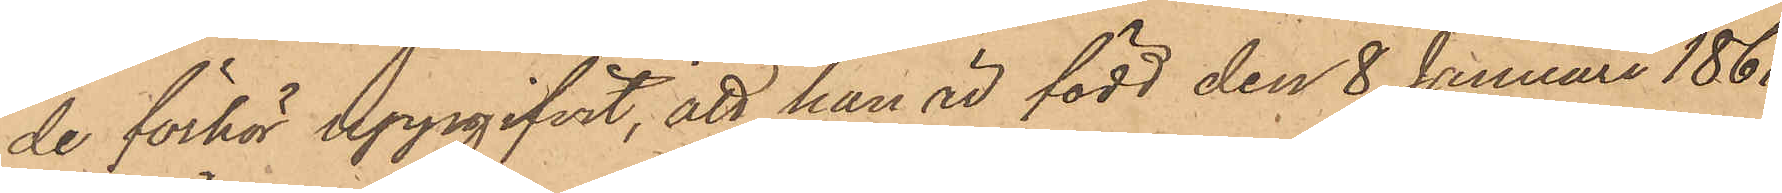de förhör uppgifvit, att han är född den 8 Januari 1861
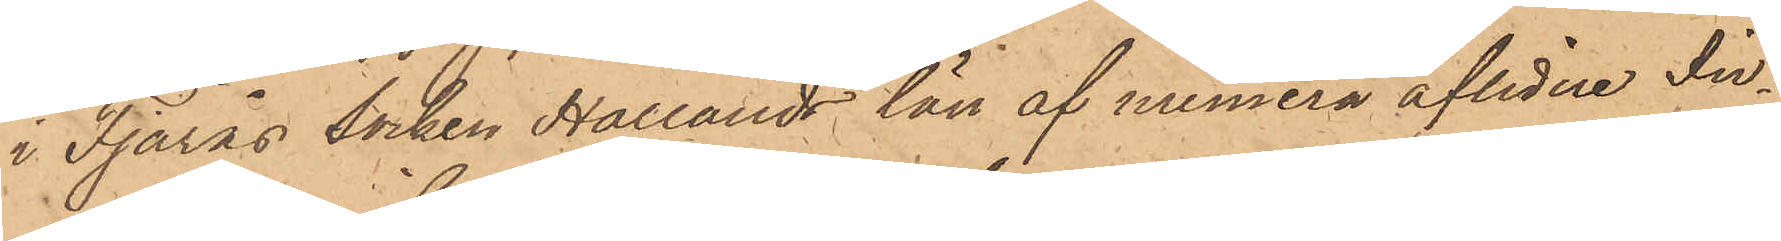i Fjärås socken Hallands län af numera aflidne In¬
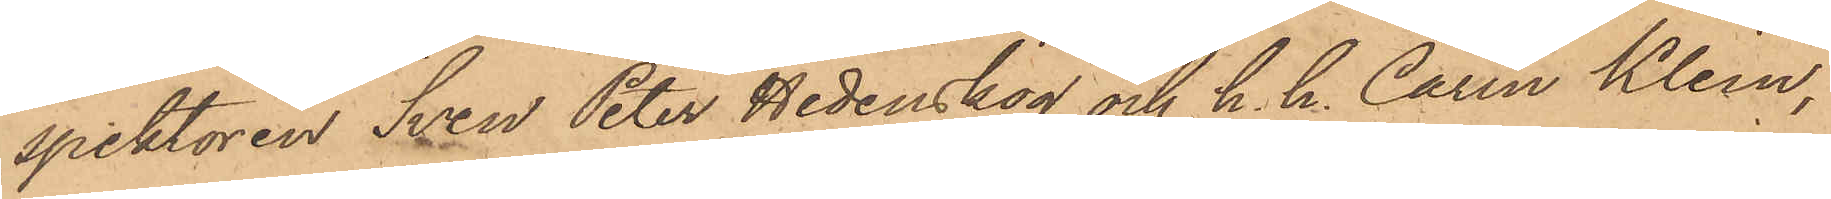spektören Sven Peter Hedenskog och h. h. Carin Klein,
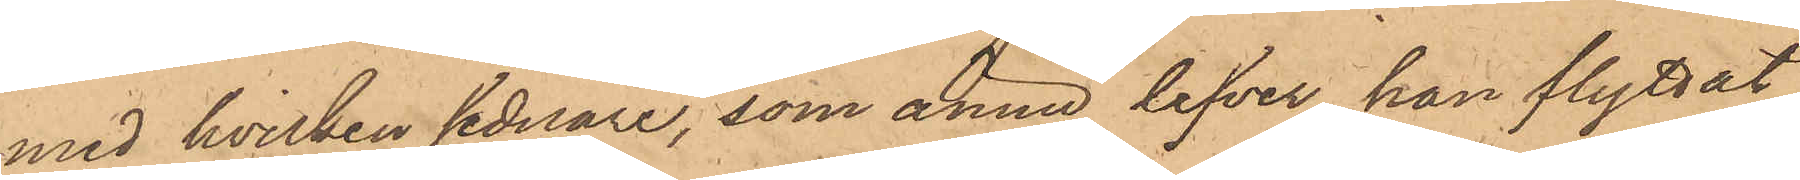med hvilken sednare, som ännu lefver, han flyttat
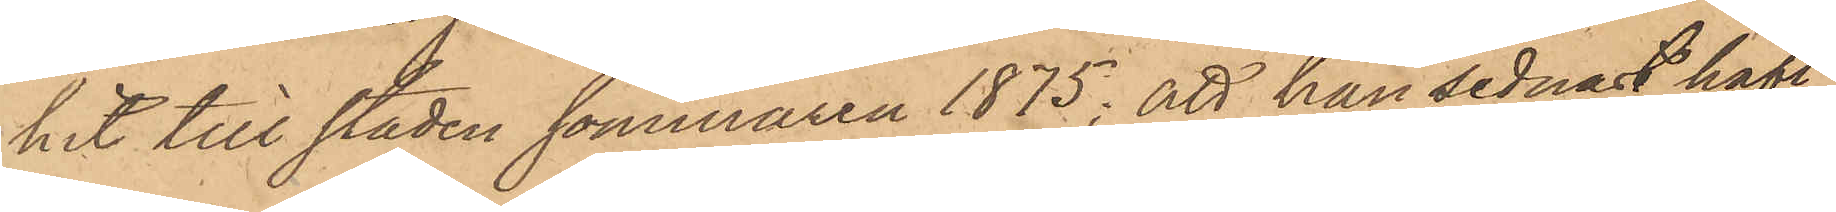hit till staden sommaren 1875; att han sednast haft
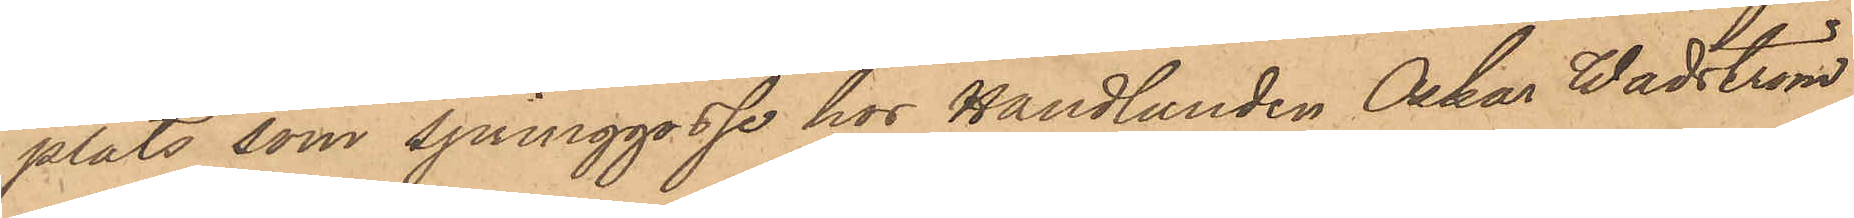plats, som springgosse hos Handlanden Oskar Wadström
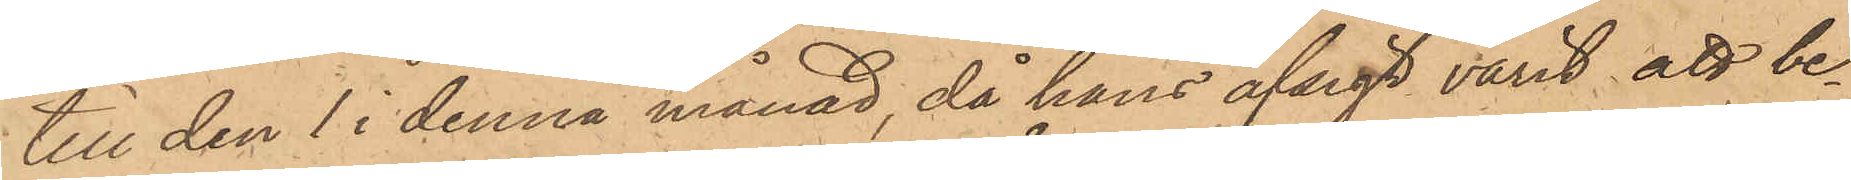till den 1 i denna månad, då hans afsigt varit att be¬
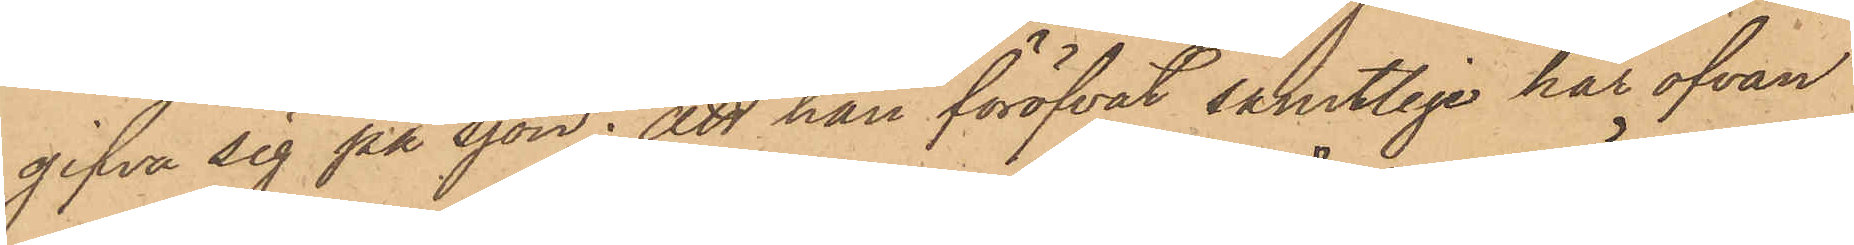gifva sig på sjön; att han föröfvat samtlige här ofvan
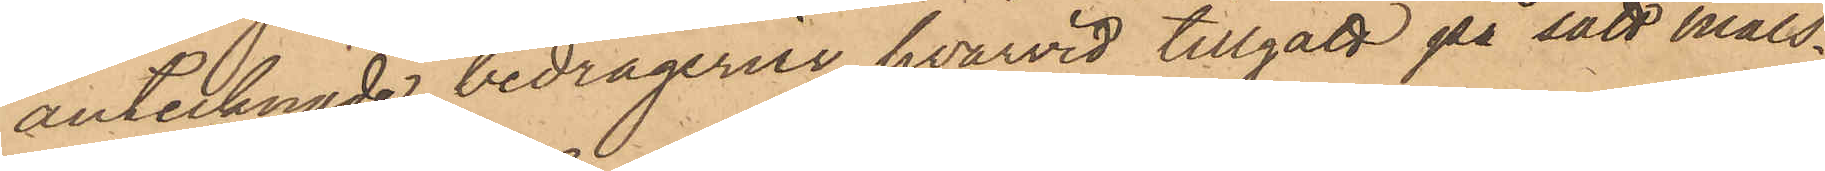antecknade bedrägerier, hvarvid tillgått på sätt måls¬
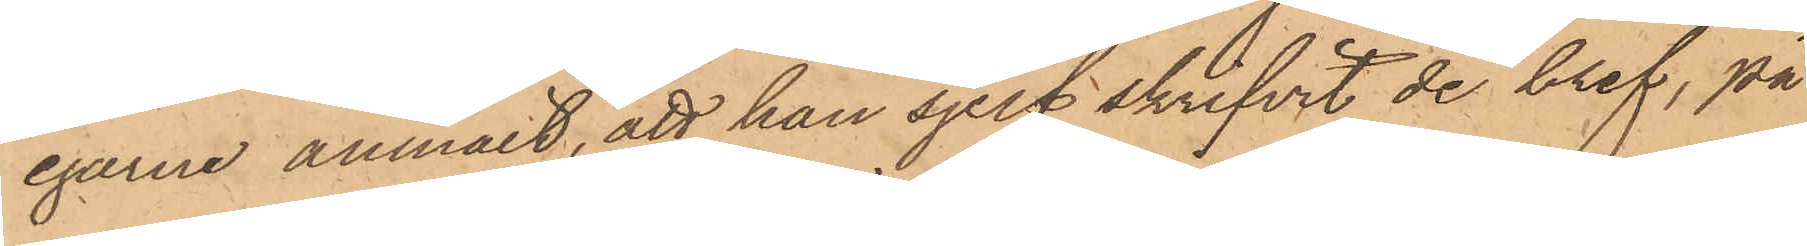egarne anmält, att han sjelf skrifvit de bref, på
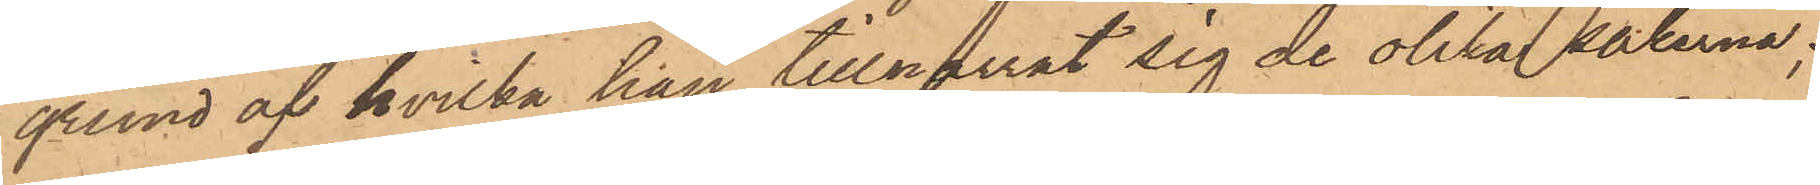grund af hvilka han tillnarrat sig de olika sakerna;
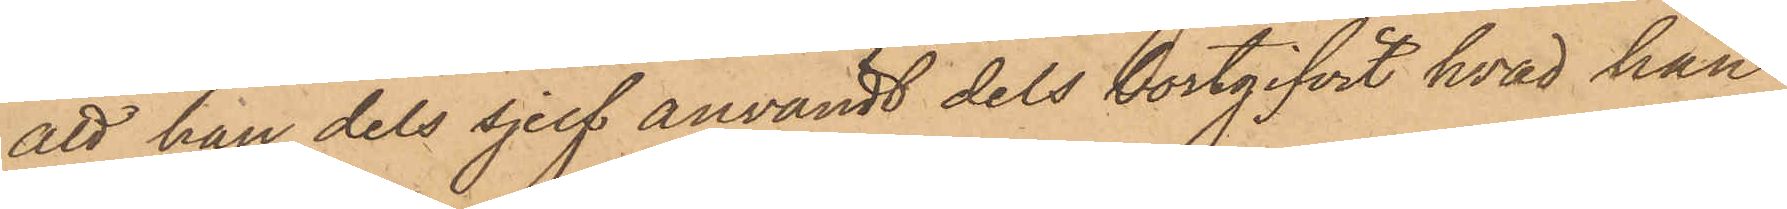att han dels sjelf användt dels bortgifvit hvad han
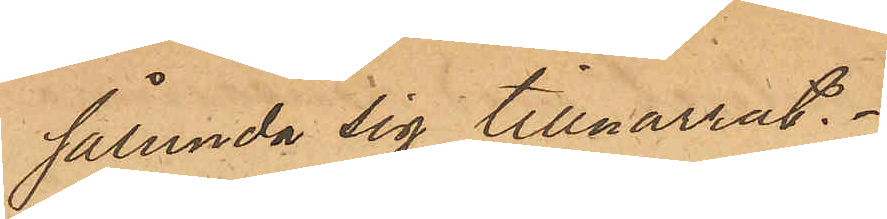sålunda sig tillnarrat.
